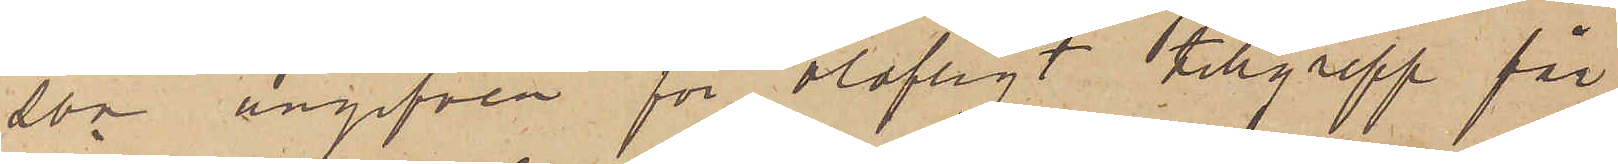son angifven för olofligt tillgrepp får
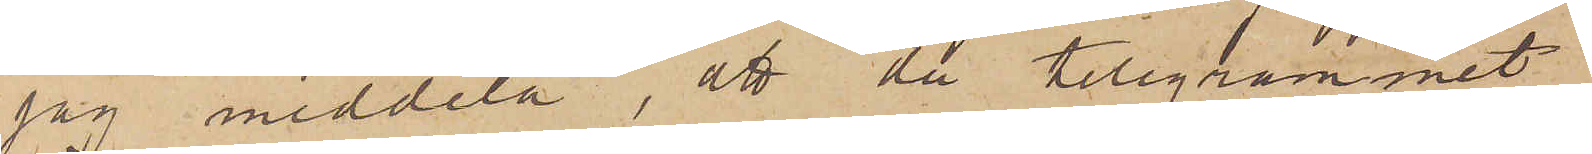jag meddela, att då telegrammet
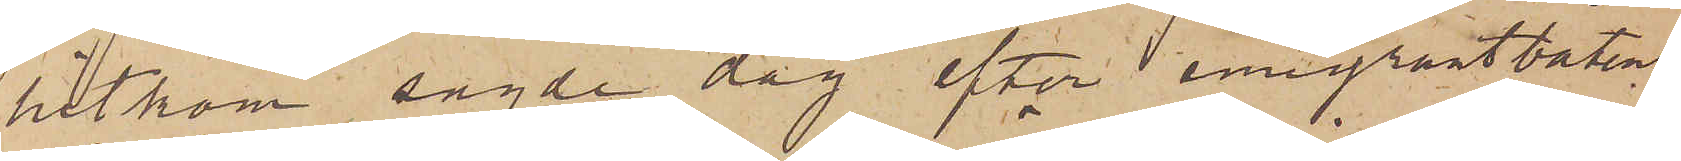hitkom sagde dag efter emigrantbåtens
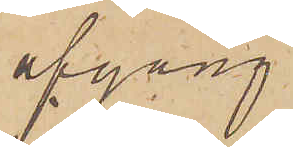afgång
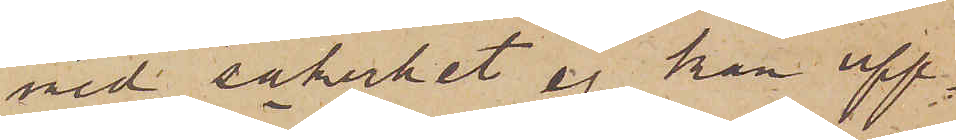med säkerhet ej kan upp¬
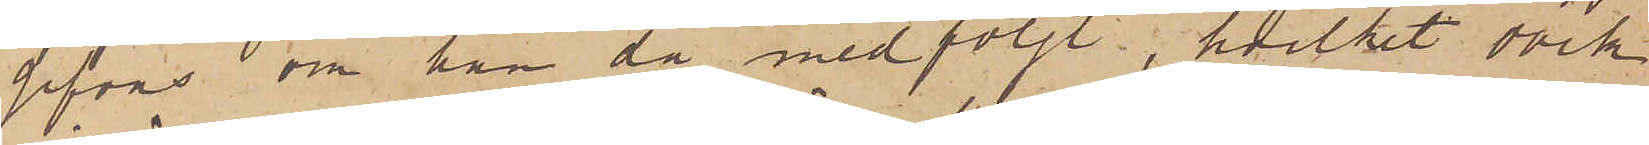gifvas om han då medföljt, hvilket dock
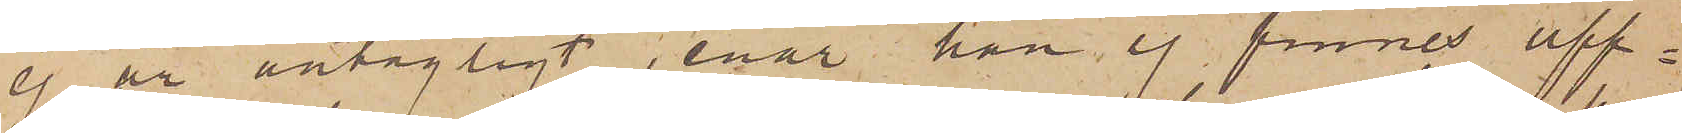ej är antagligt, enär han ej finnes upp¬
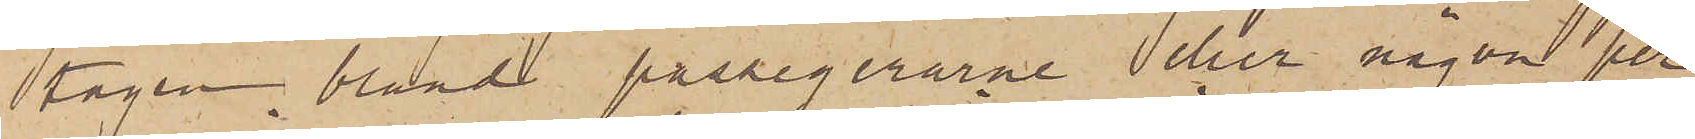tagen bland passegerarne eller någon per¬
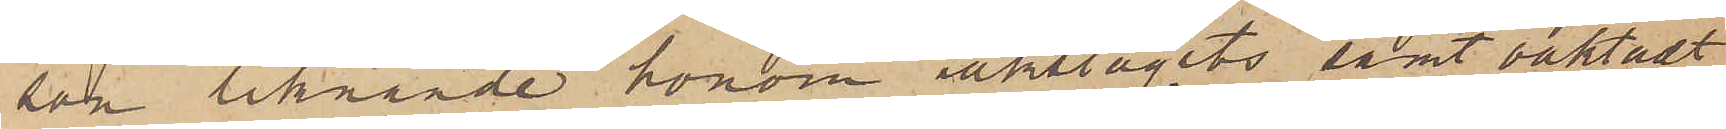som liknande honom iakttagits samt oaktadt
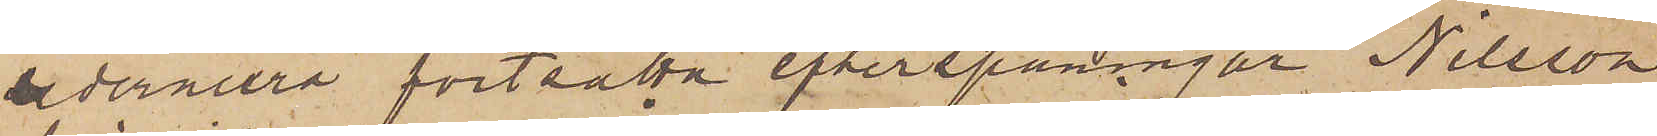sedermera fortsatta efterspaningar Nilsson
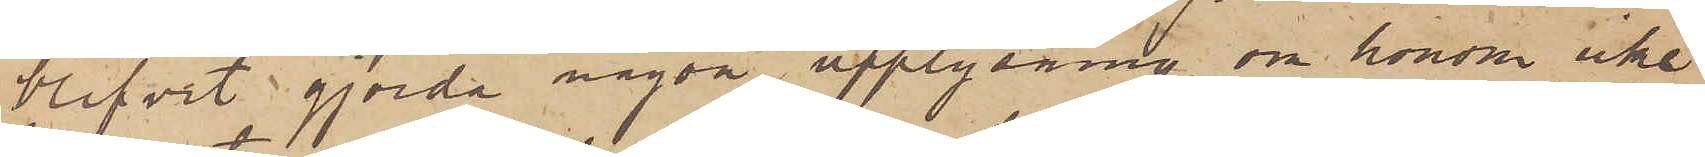blifvit gjorda någon upplysning om honom icke
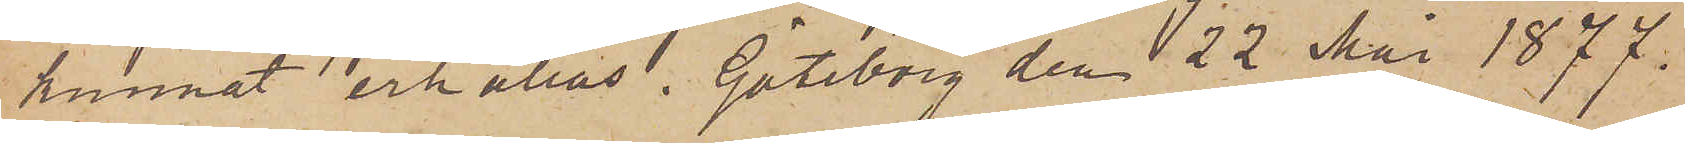kunnat erhållas. Göteborg den 22 Mai 1877.
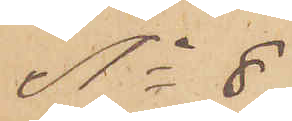No 8
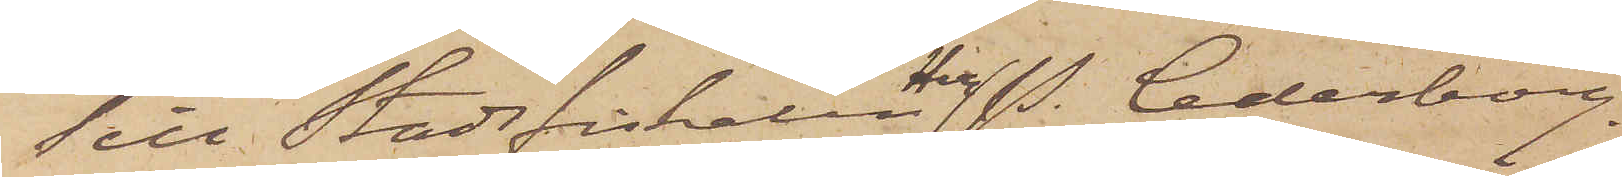Till Stadsfiskalen P. Cederborg.
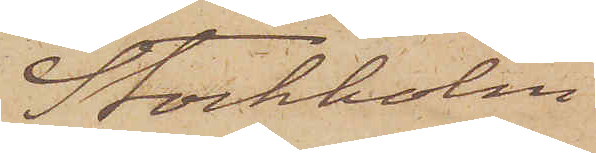Stockholm
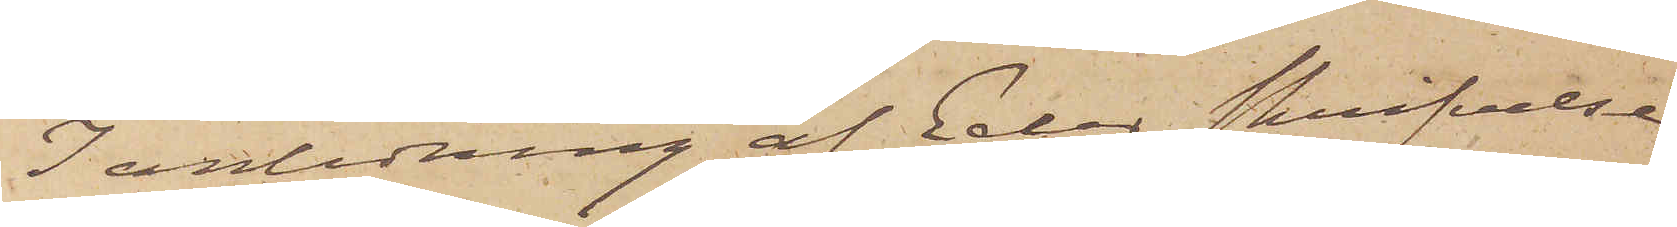I anledning af Eder skrifvelse
